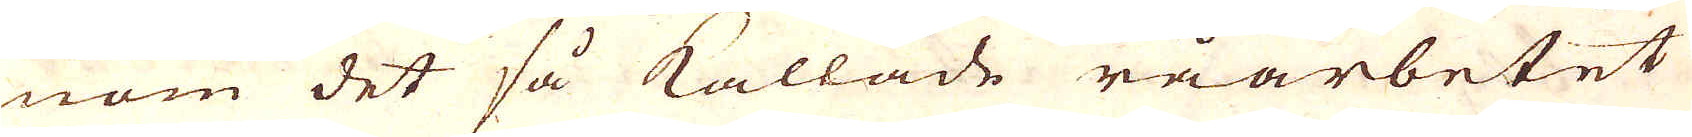nom det så kallade råarbetet
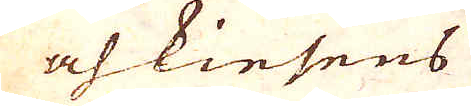och kiesens
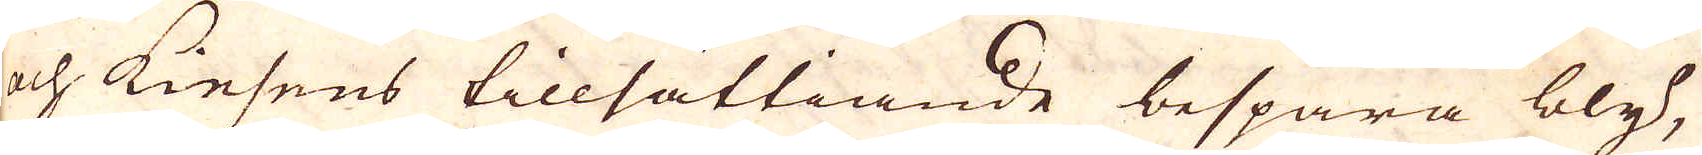och Kiesens tillsättiande bespara bly,
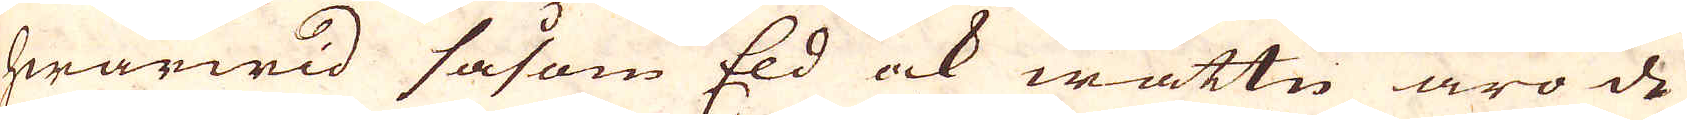hwarwid såsom Eld ock wattn äro de
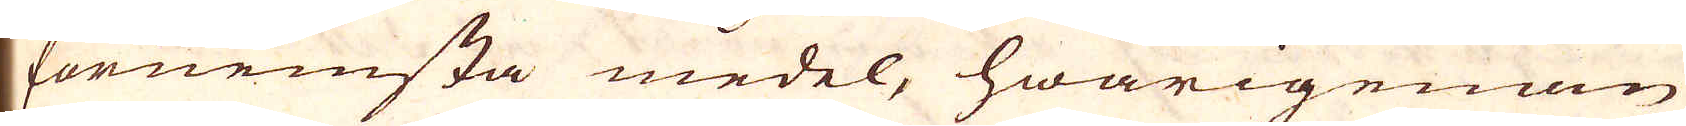förnemsta medel, hwarigenom
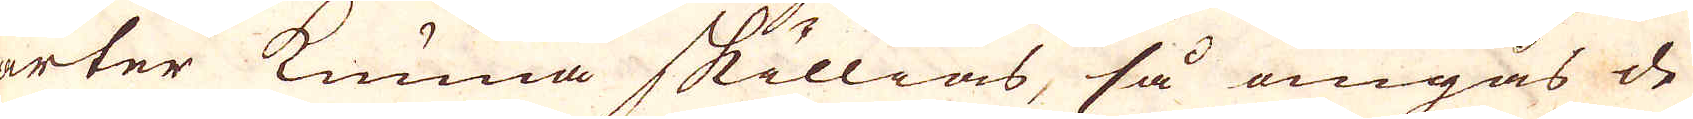arter kunna skillias, så omgås de
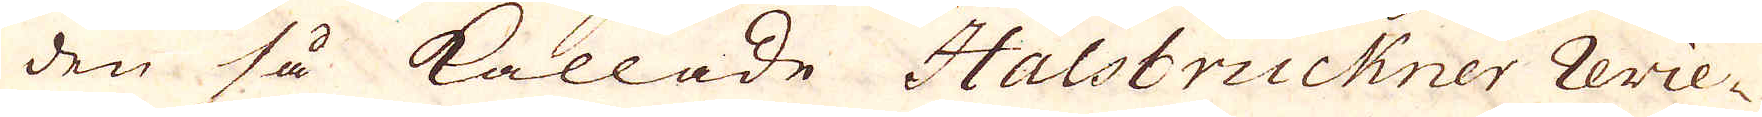i den så kallade Halsbruckner Revie-
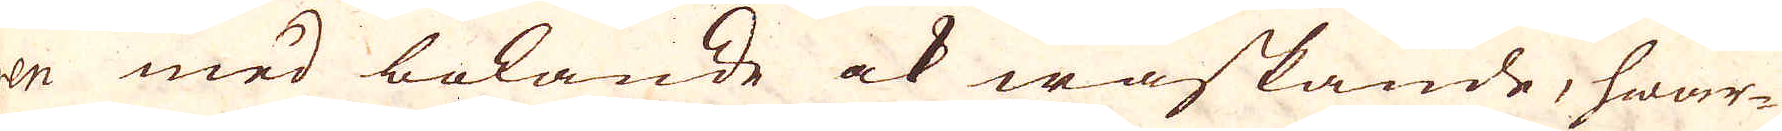en med bokande ock waskande, hwar-
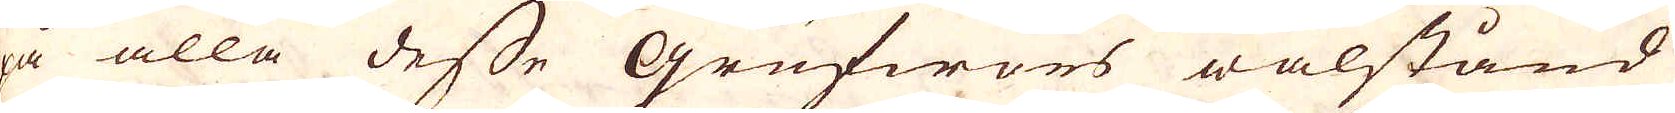på alla desse Grufwors wälstånd
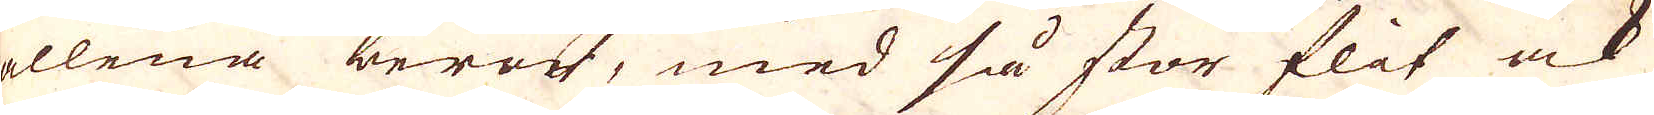allena berör, med så stor flit ock
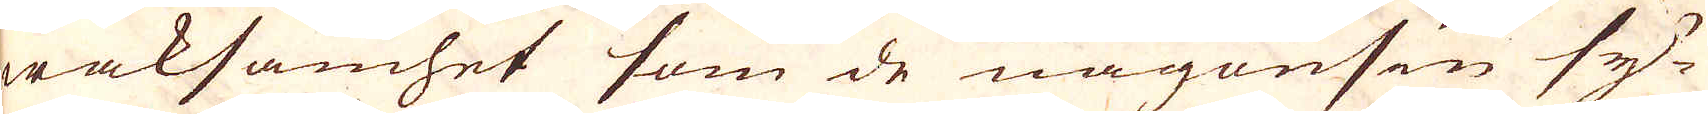waksamhet som de någonsin sy-
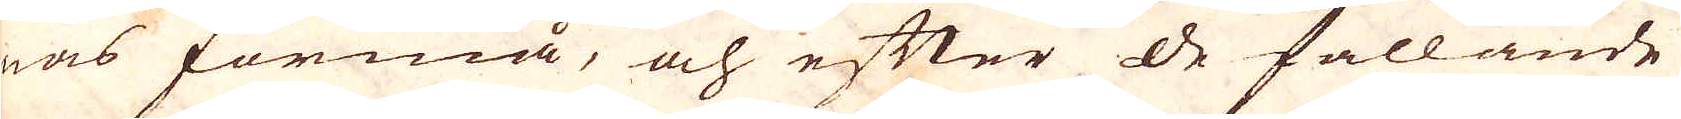nas förmå, och efter de fallande
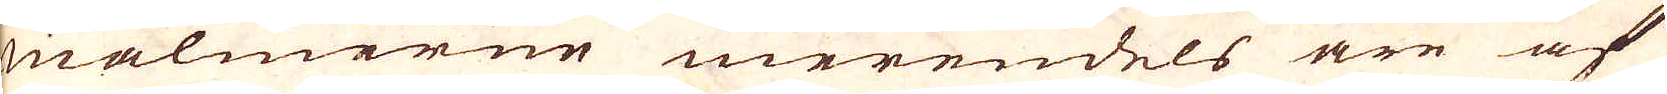malmerne merendels äre af
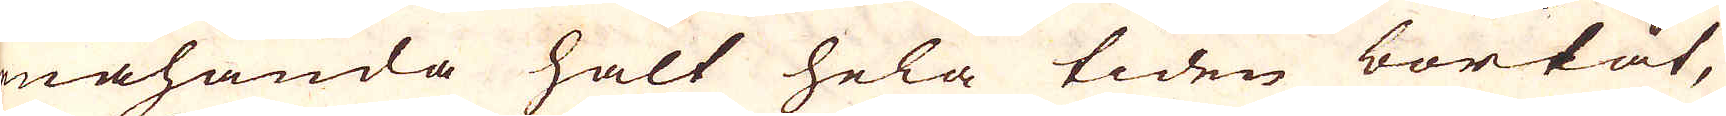enahanda halt hela tiden bortåt,
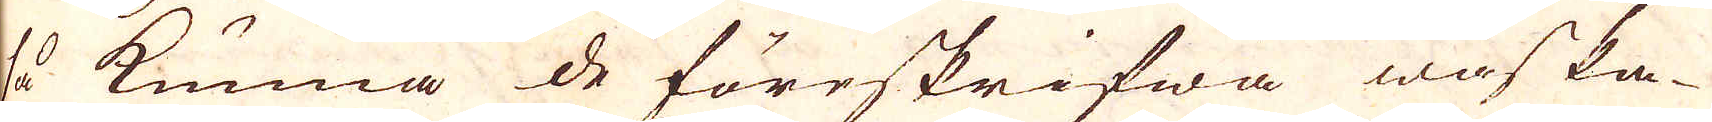så kunna de föreskrifwa waska-
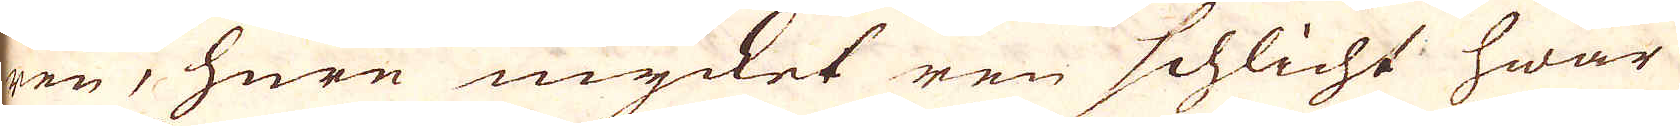ren, huru mycket ren schlicht hwar
